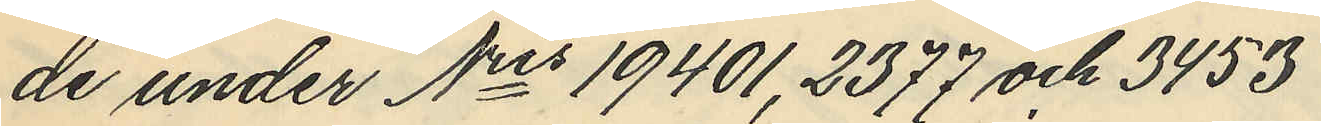de under Nris 19401, 2377 och 3453
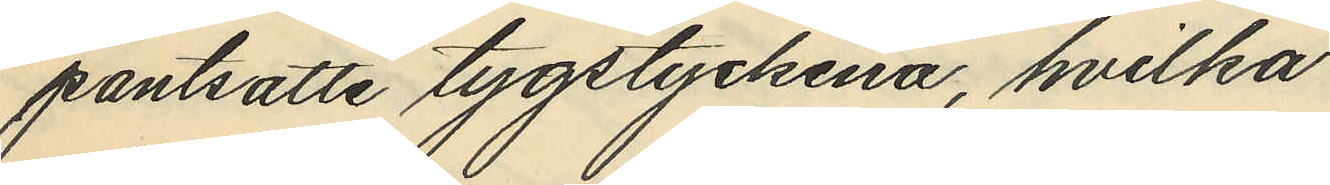pantsatte tygstyckena, hvilka
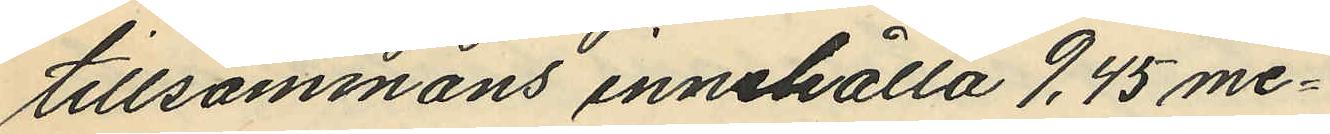tillsammans innehålla 9,45 me¬
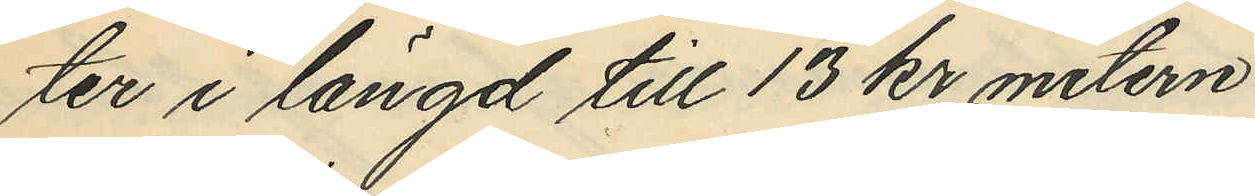ter i längd till 13 kr metern
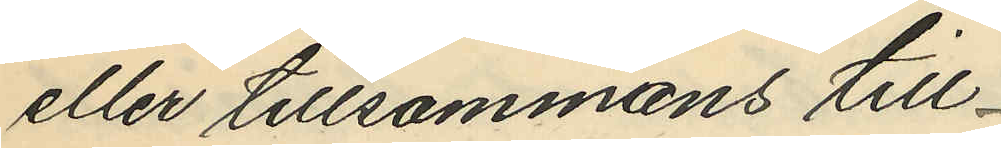eller tillsammans till
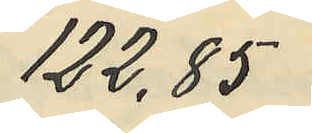122,85
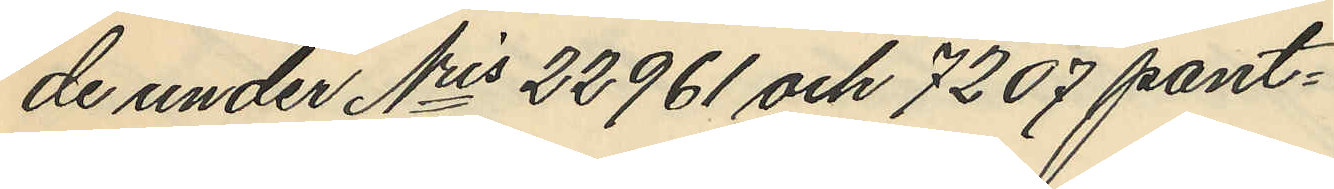de under Nris 22961 och 7207 pant¬
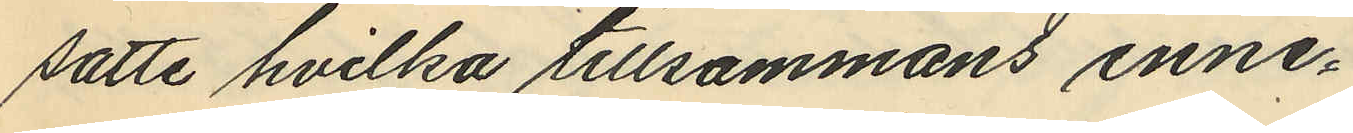satte hvilka tillsammans inne¬
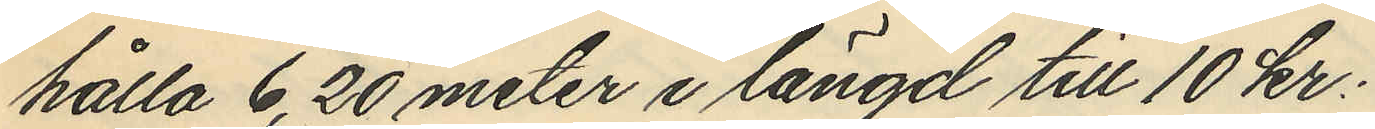hålla 6,20 meter i längd till 10 kr.
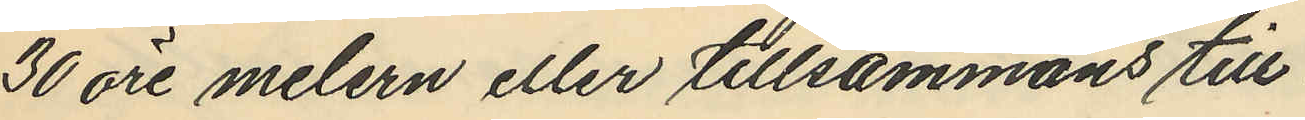30 öre melern eller tillsammans till
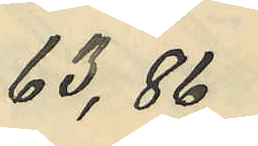63,86
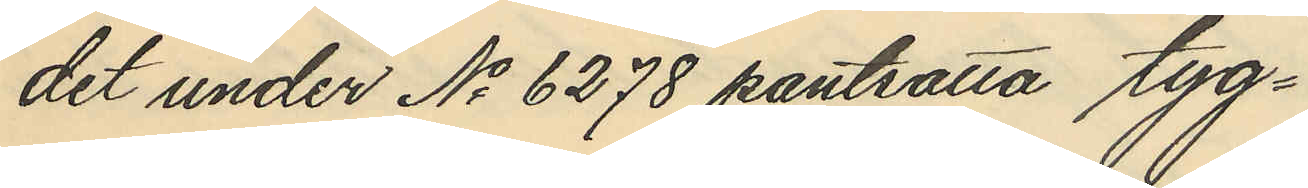det under No 6278 pantsatta tyg¬
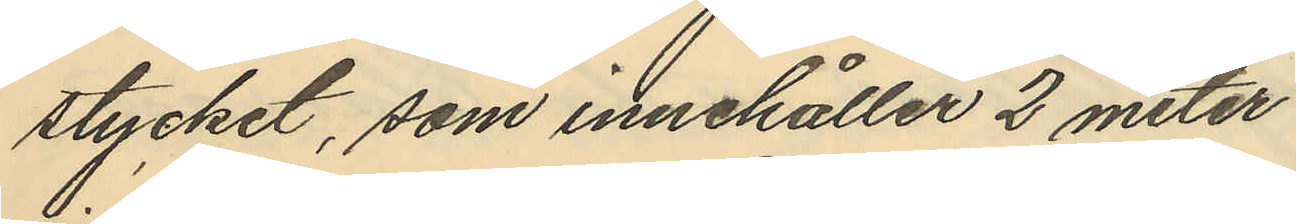stycket, som innehåller 2 meter
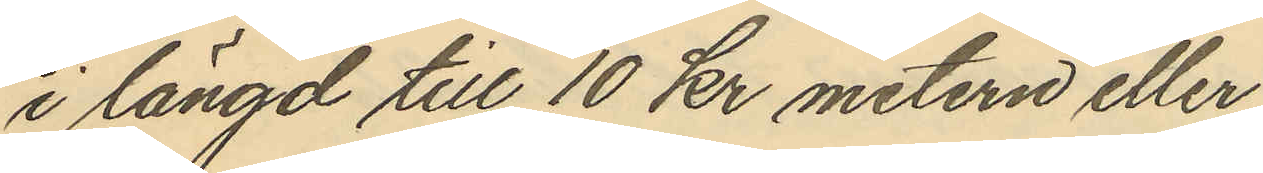i längd till 10 kr metern eller
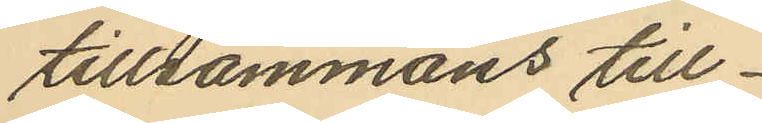tillsammans till
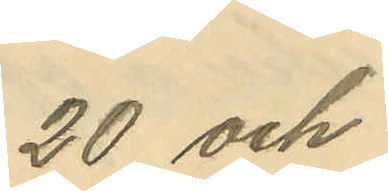20 och
